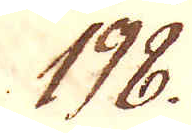198.
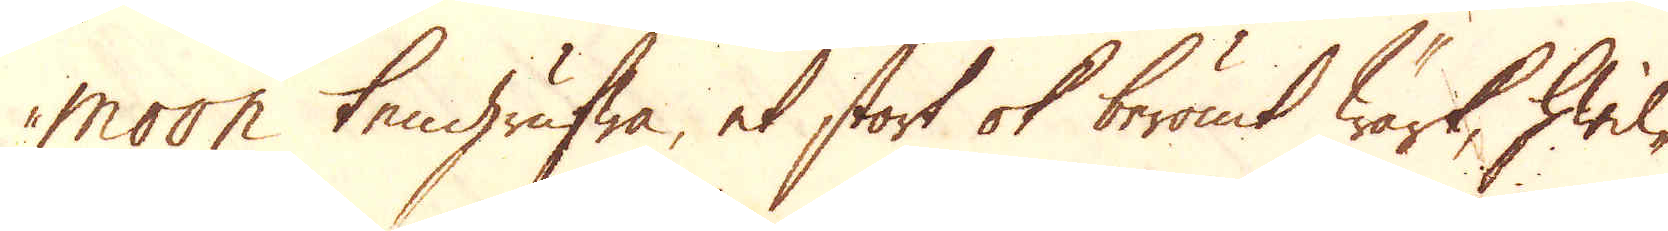moon tengrufwa, et stort ok berömt Wärk, hwil-
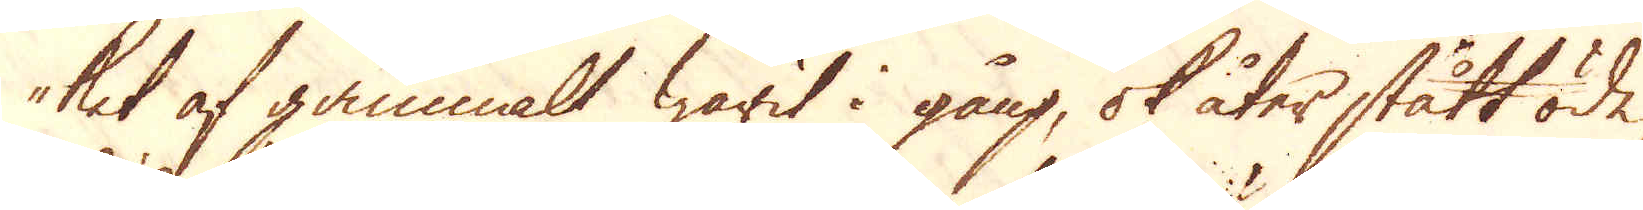ket af gammalt warit i gång, ok åter stått öde,
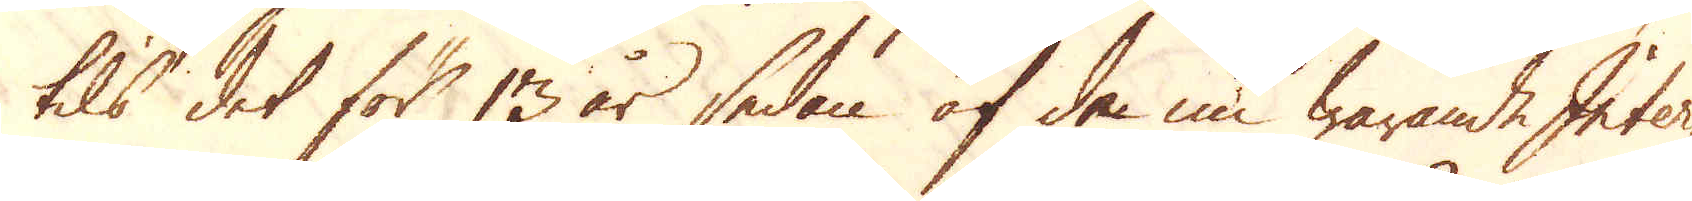tils det för 13 år sedan af de nu warande Inter-
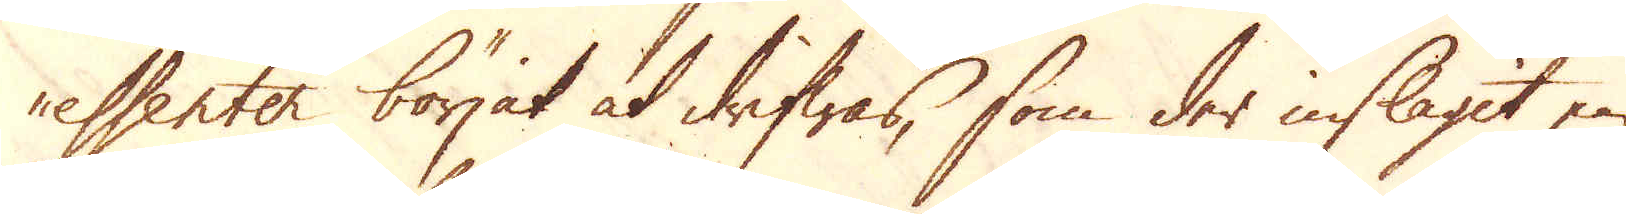essenter börjat at drifwas, som der inslagit en
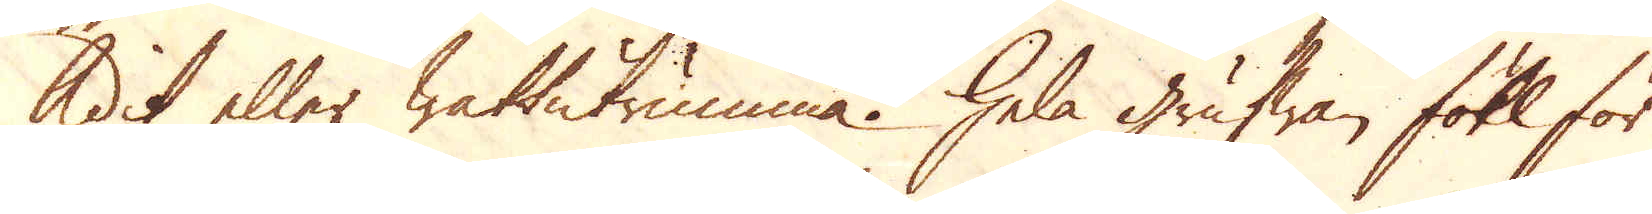Adit eller Wattutrumma. Hela grufwan föll för
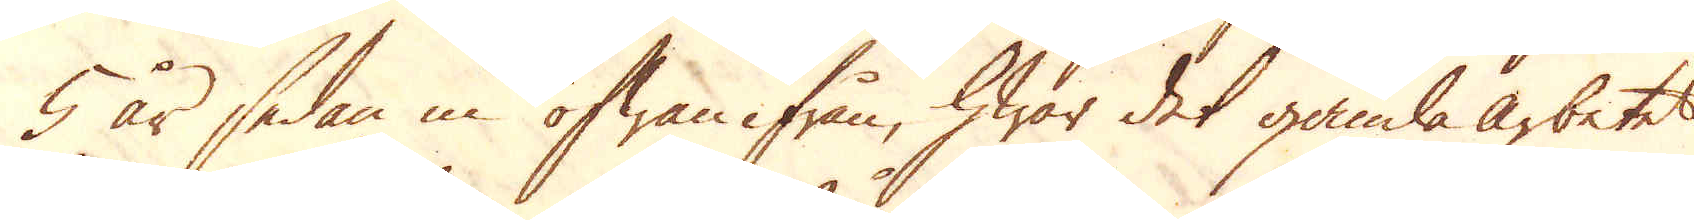5 år sedan in ofwanifrån, hwar det gamla arbetet
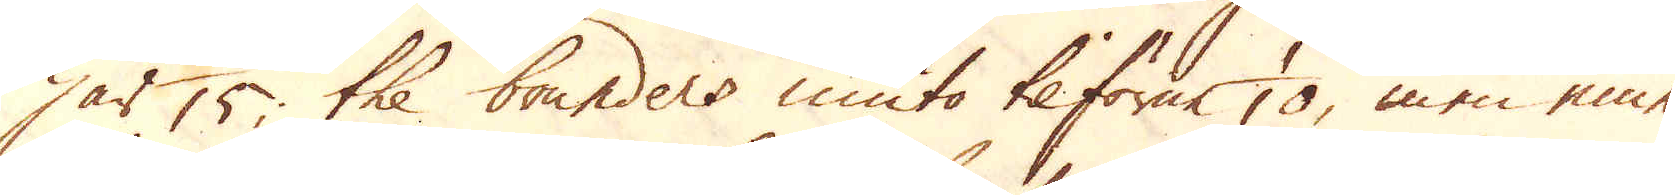har 1/15, the bounders niuto tilförne 1/10, men eme-
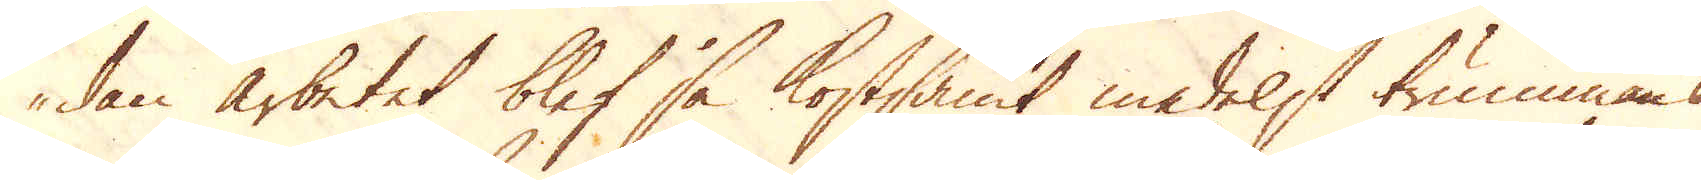dan arbetet blef så kostsamt medelst trummans
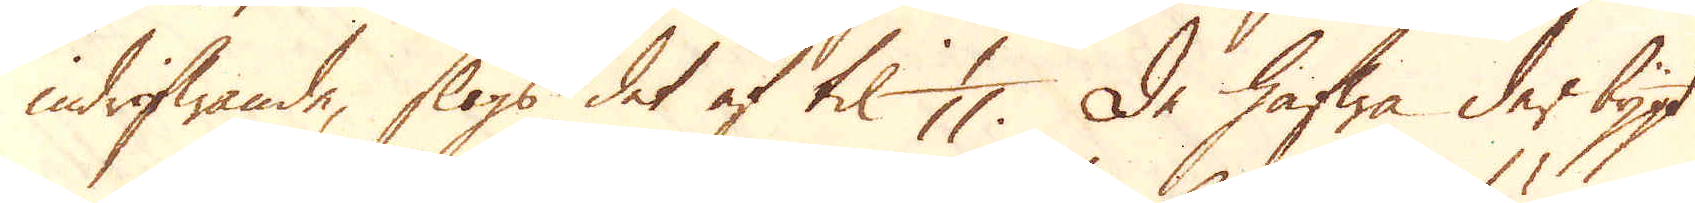indrifwande, slogs det af til 1/11. De hafwa der bygt
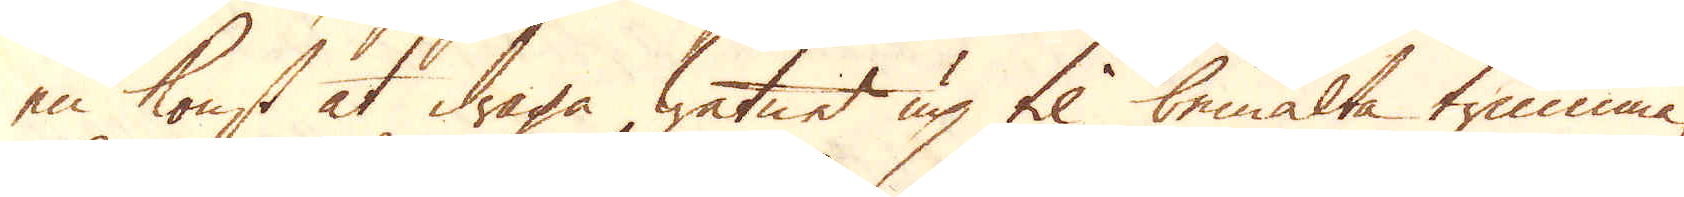en konst at draga watnet up til bemälta trumma,
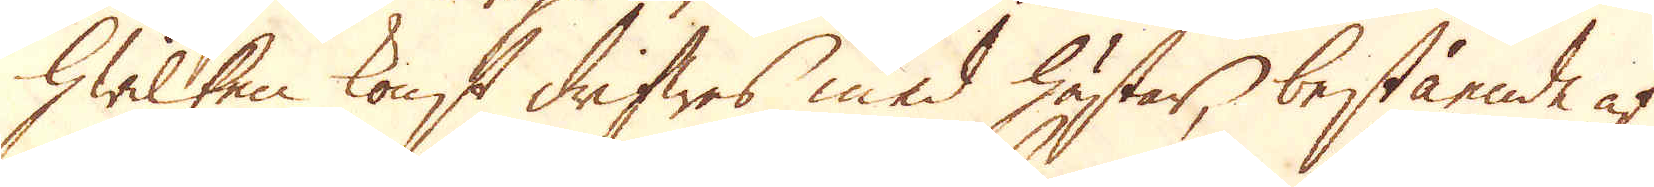hwilken konst drifwes med hästar, bestående af
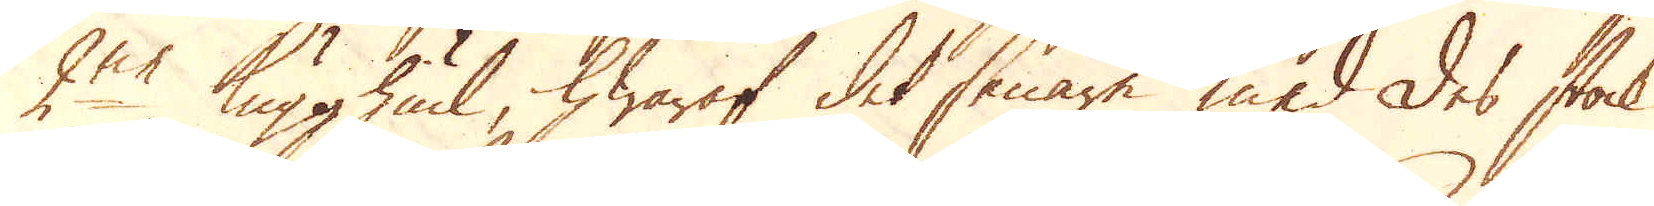2:ne Kugghiul, hwaraf det senare med des stock
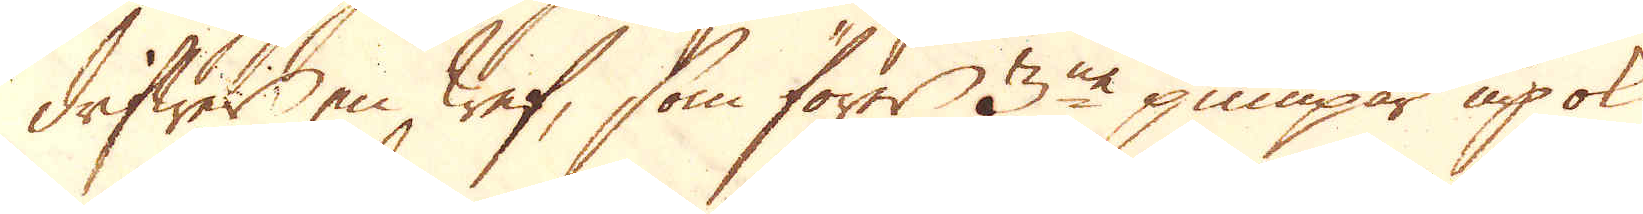drifwer en Wef, som förer 3:ne pumpar up ok
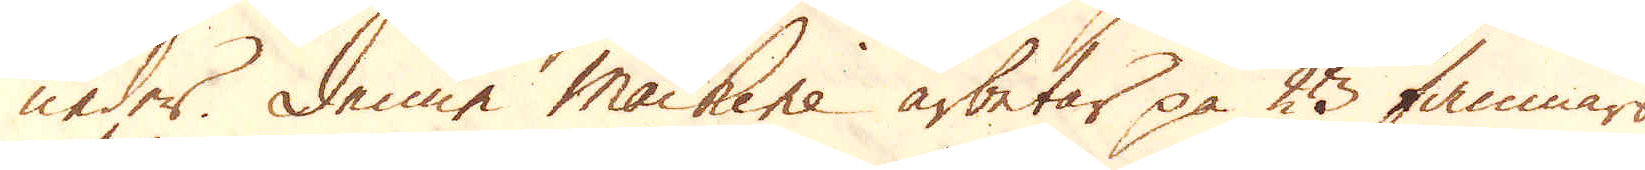neder. Denne machine arbetar på 23 famnars
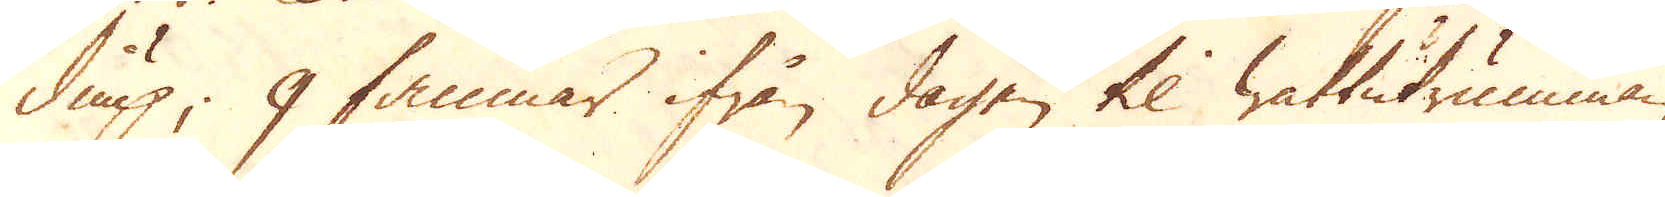diup; 9 famnar ifrån dagen til wattutrumman,
